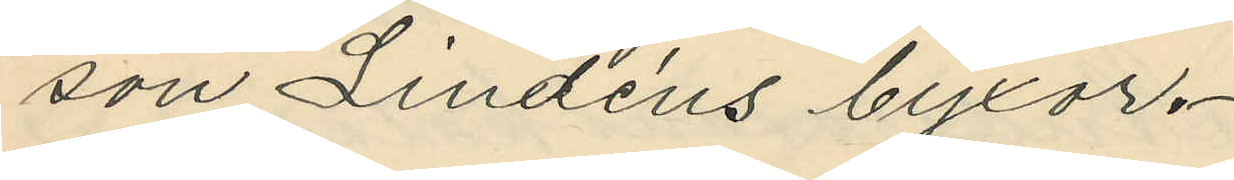son Lindéns byxor.
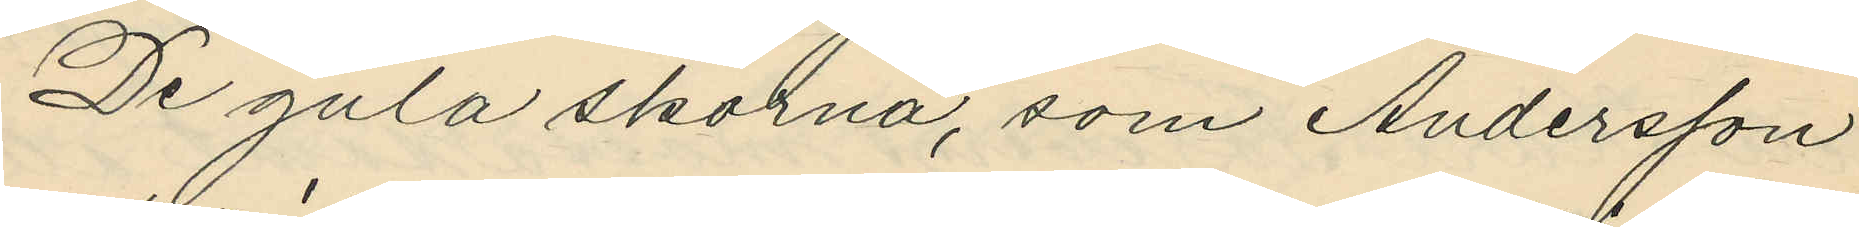De gula skorna, som Andersson
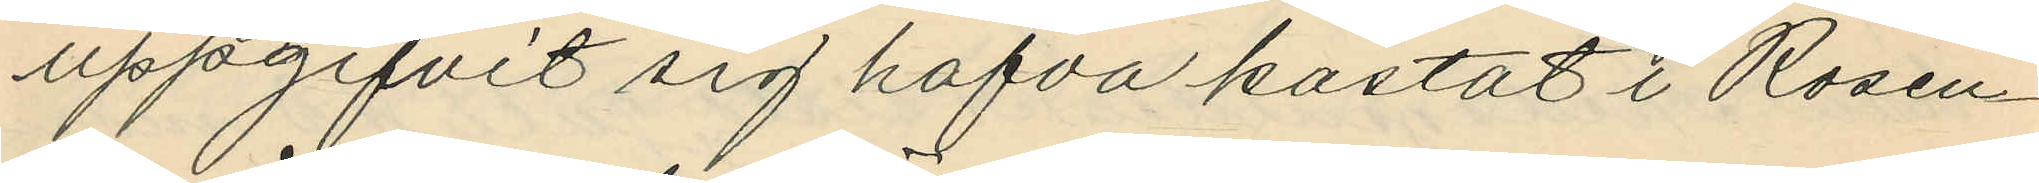uppgifvit sig hafva kastat i Rosen¬
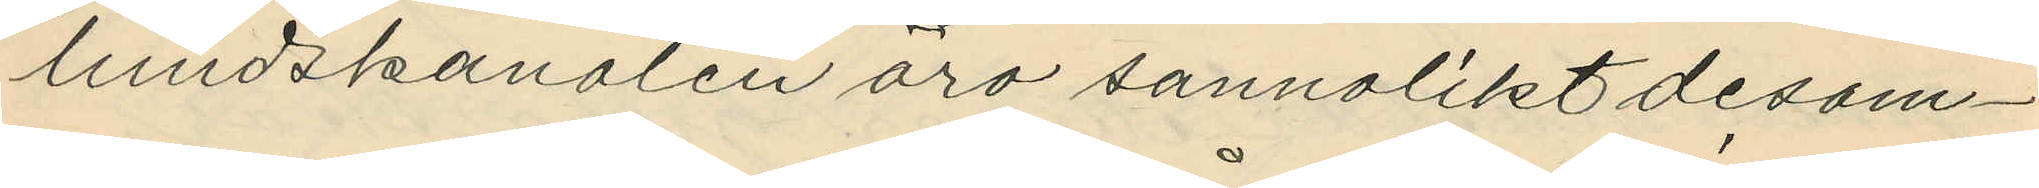lundskanalen äro sannolikt desam¬
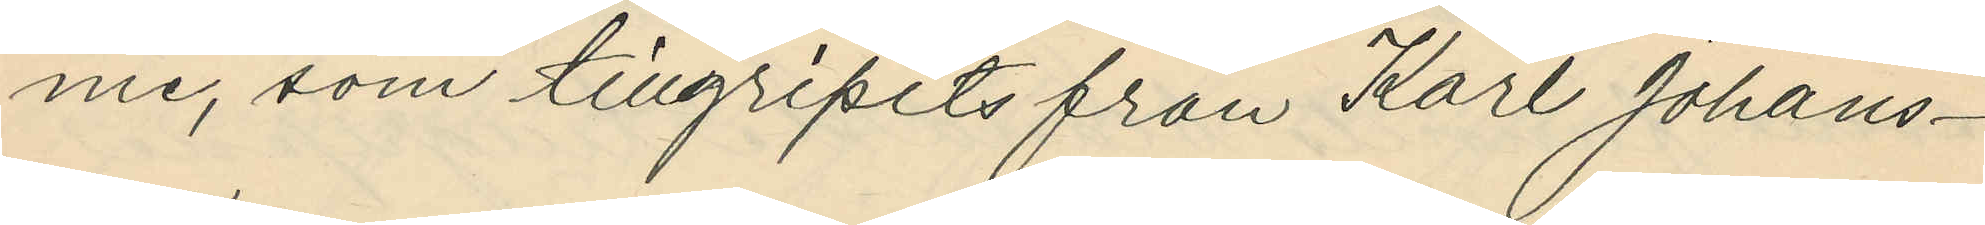me, som tillgripits från Karl Johans¬
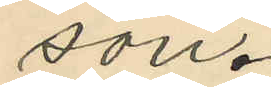son.
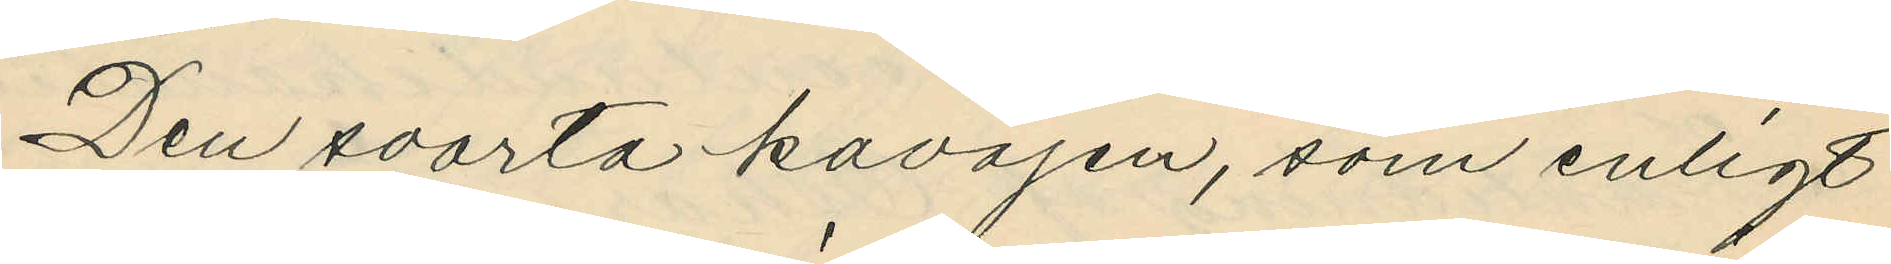Den svarta kavajen, som enligt
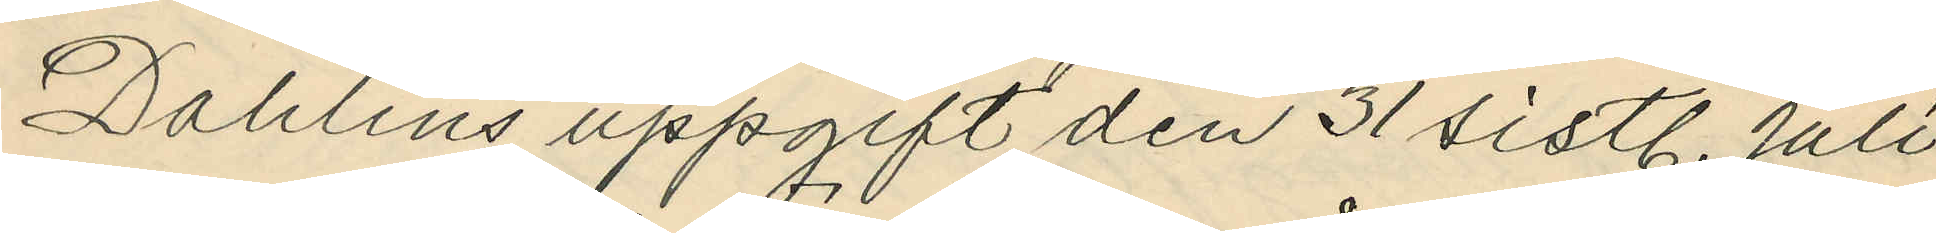Dahlins uppgift den 31 sistl. Juli
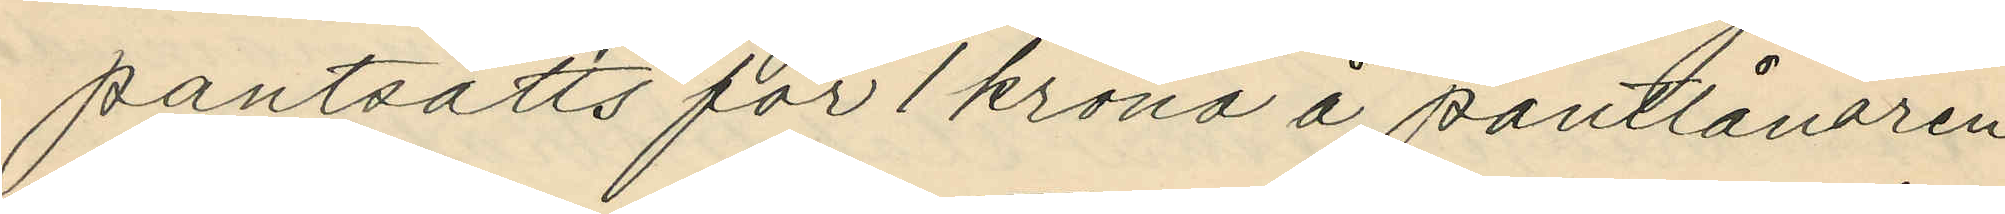pantsatts för 1 krona å pantlånaren
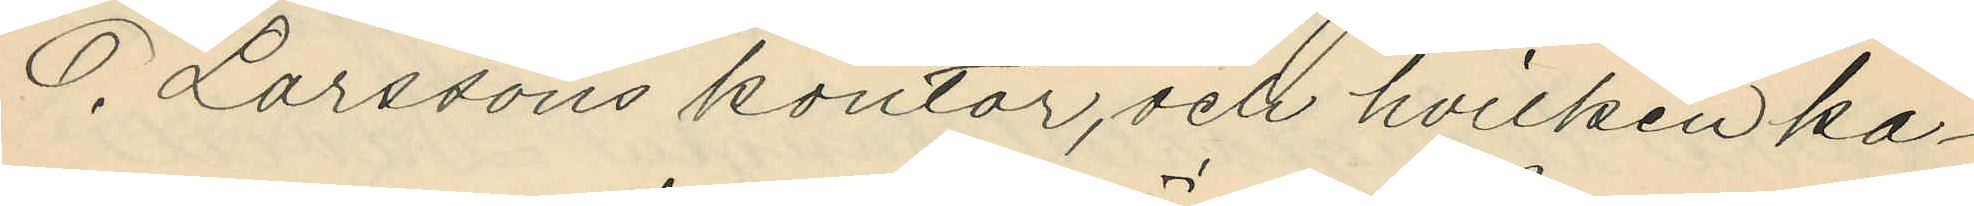O. Larssons kontor, och hvilken ka¬
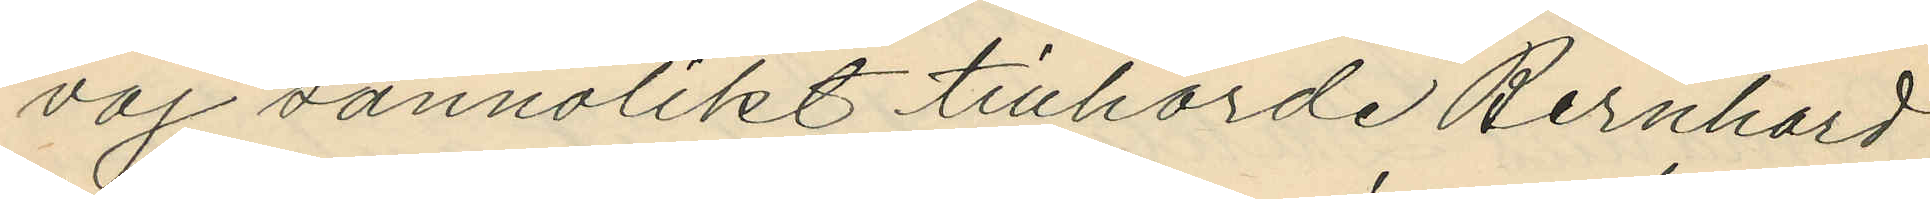vaj sannolikt tillhörde Bernhard
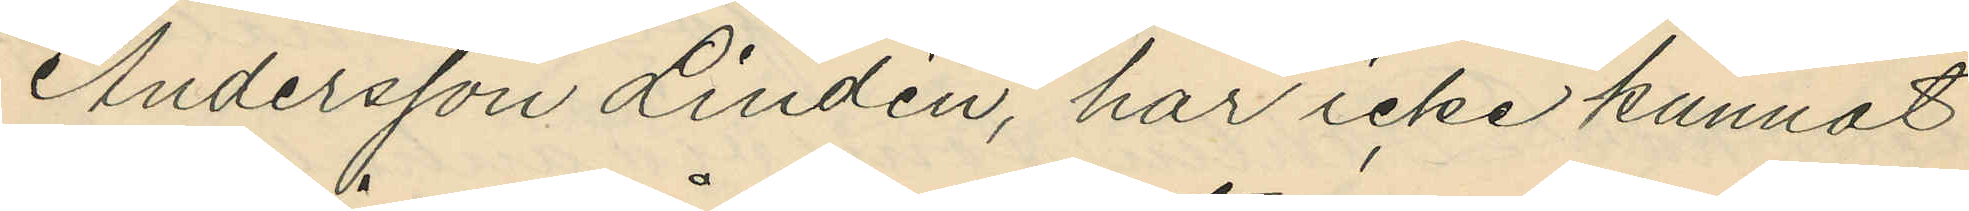Andersson Lindén, har icke kunnat
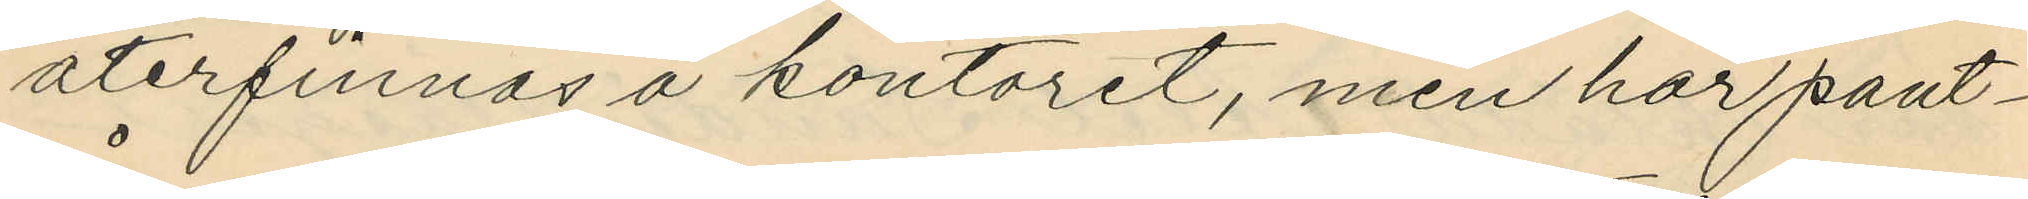återfinnas å kontoret, men har pant¬
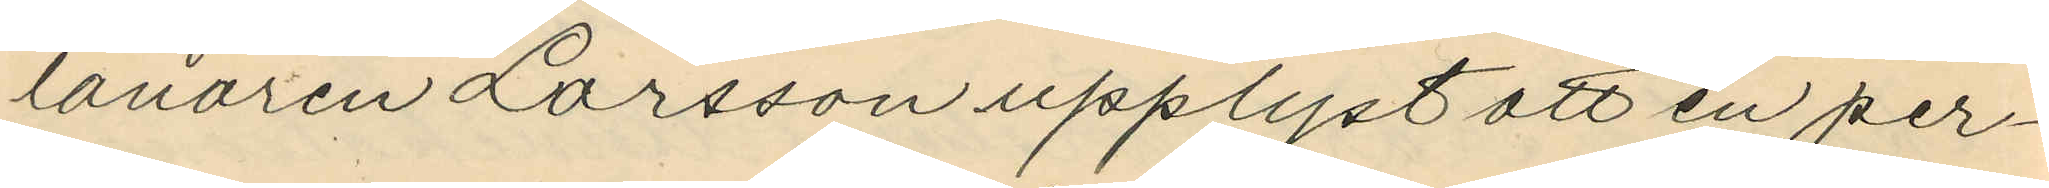lånaren Larsson upplyst att en per¬
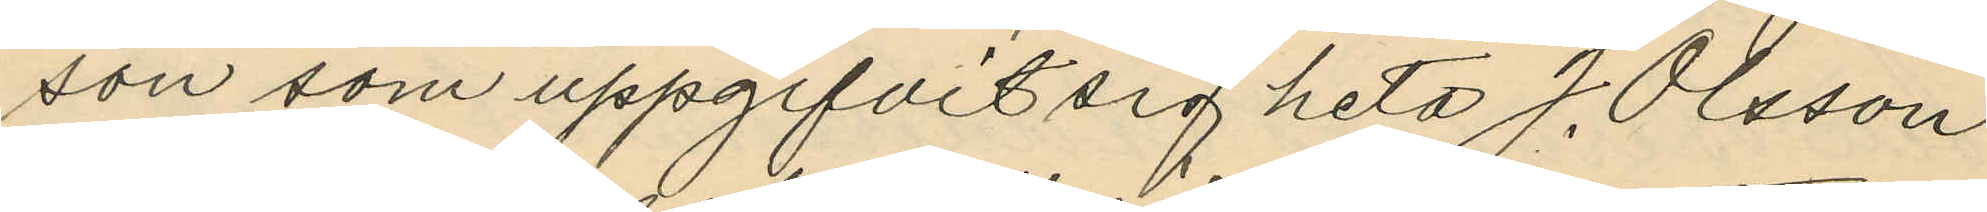son som uppgifvit sig heta J. Olsson
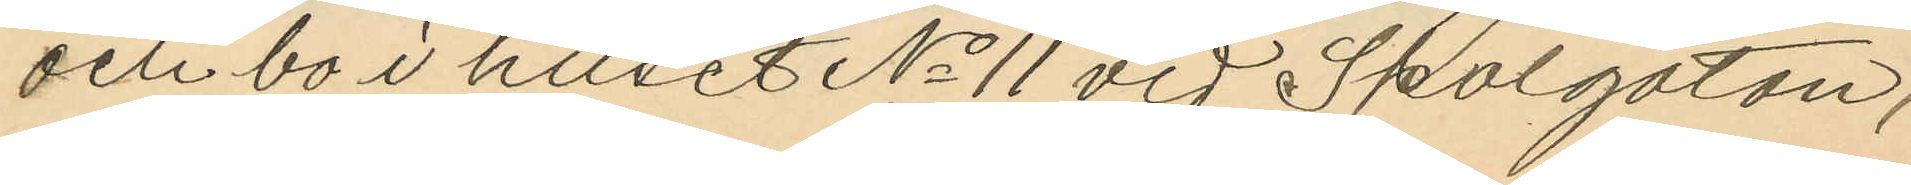och bo i huset No 11 vid Skolgatan,
